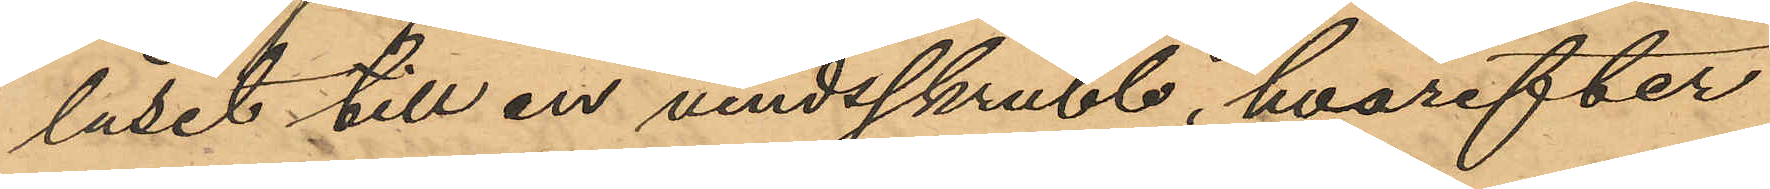låset till en vindsskrubb, hvarefter
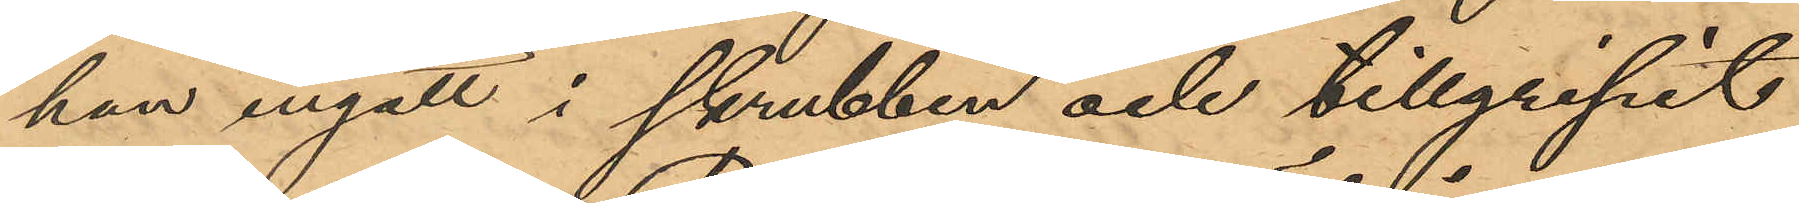han ingått i skrubben och tillgripit
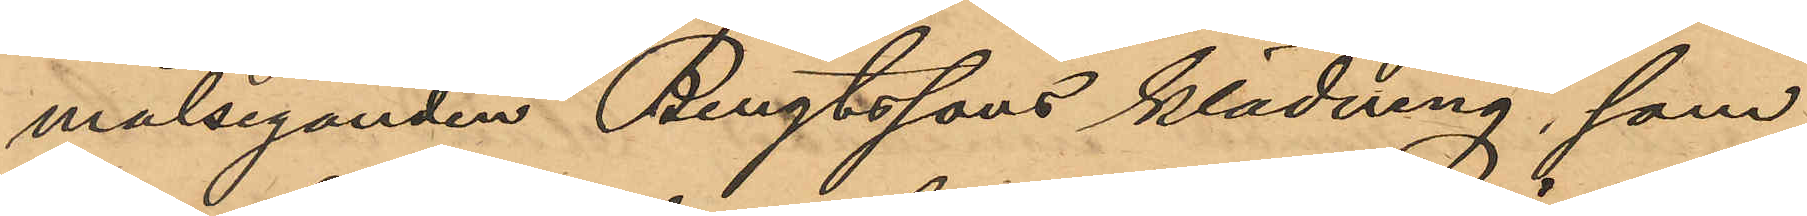målseganden Bengtssons klädning, som
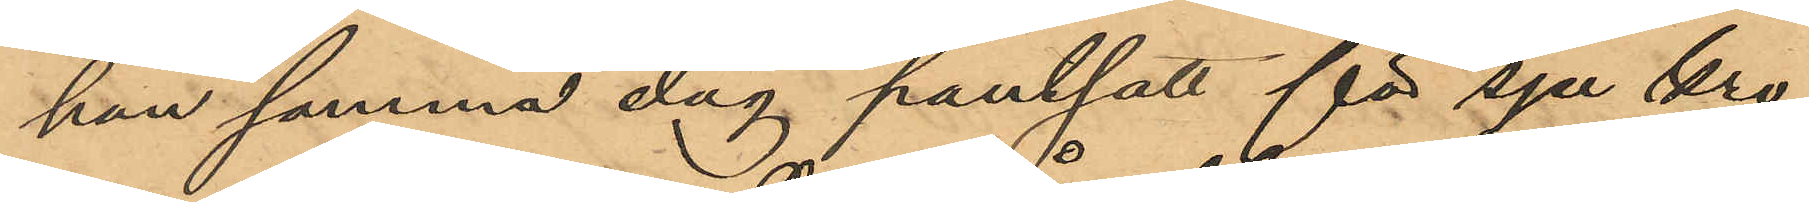han samma dag pantsatt för sju kro¬
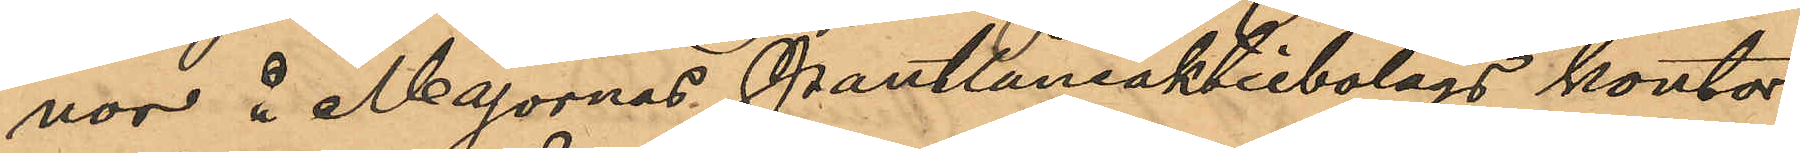nor å Majornas Pantlåneaktiebolags kontor
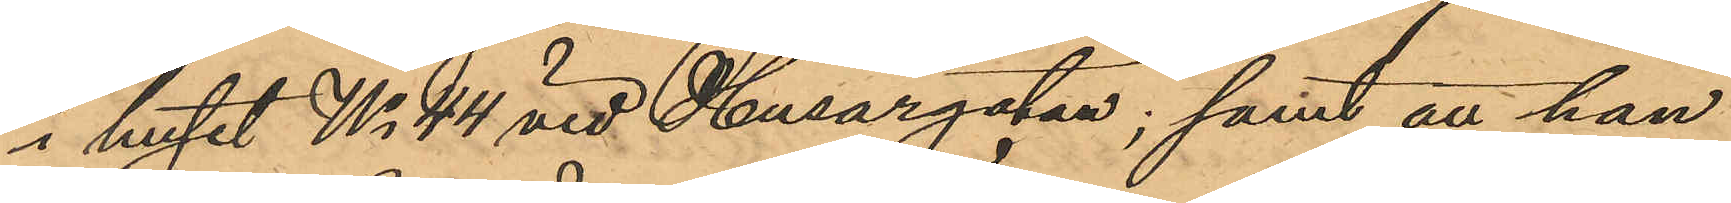i huset No 44 vid Husargatan; samt att han
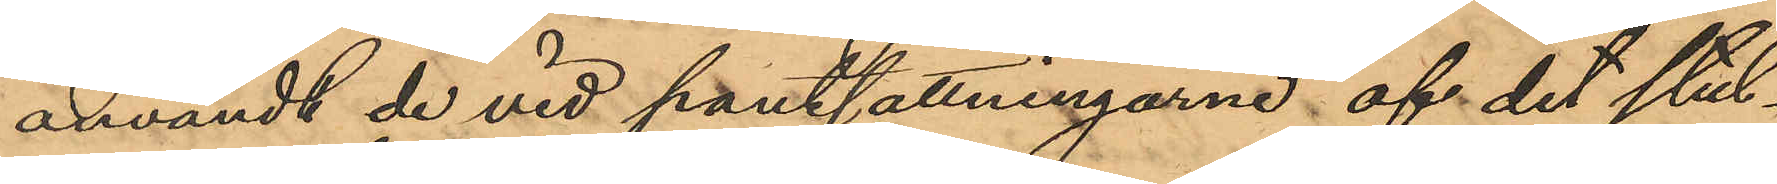användt de vid pantsättningarne af det stul¬
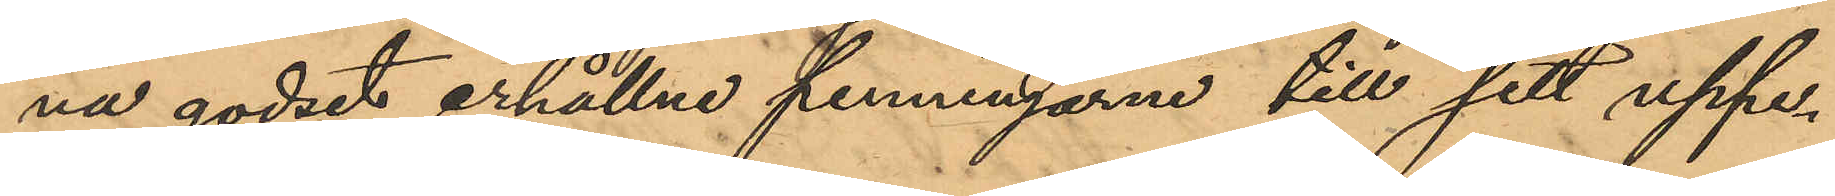na godset erhållne penningarne till sitt uppe¬
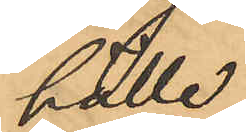hälle.
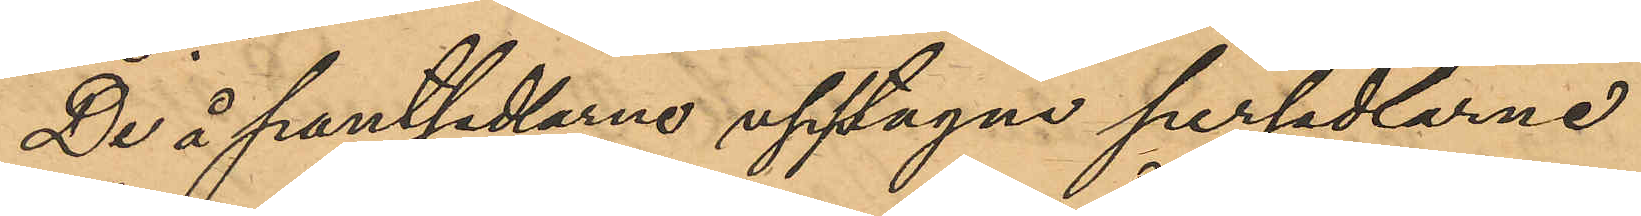De å pantsedlarne upptagna persedlarne
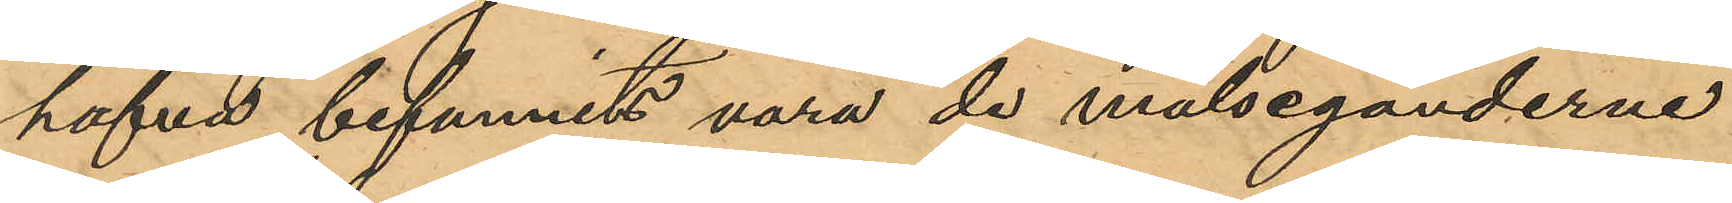hafva befunnits vara de målseganderne
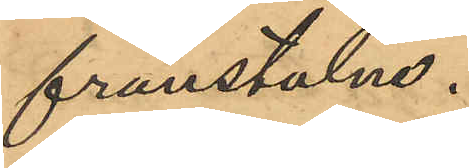frånstulne.
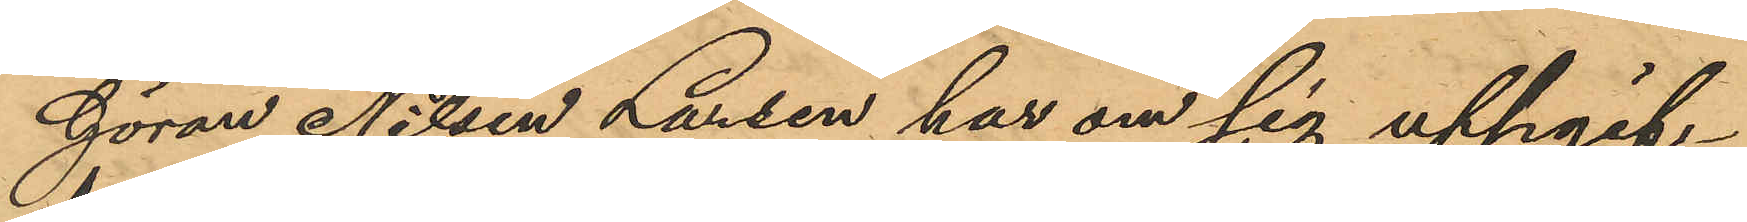Göran Nilsen Larsen har om sig uppgif¬
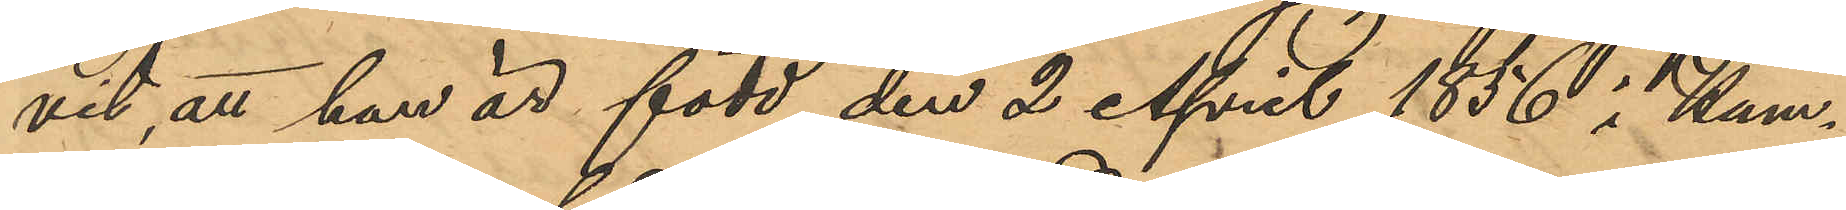vit, att han är född den 2 April 1856 i Hum¬
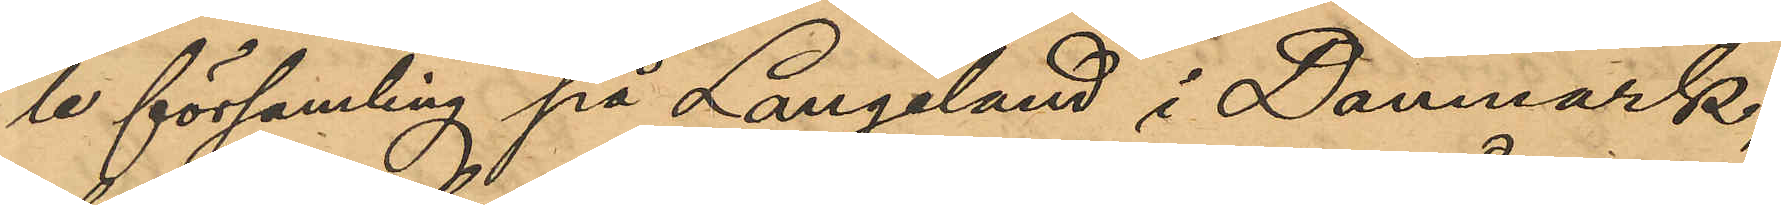le församling på Langeland i Danmark;
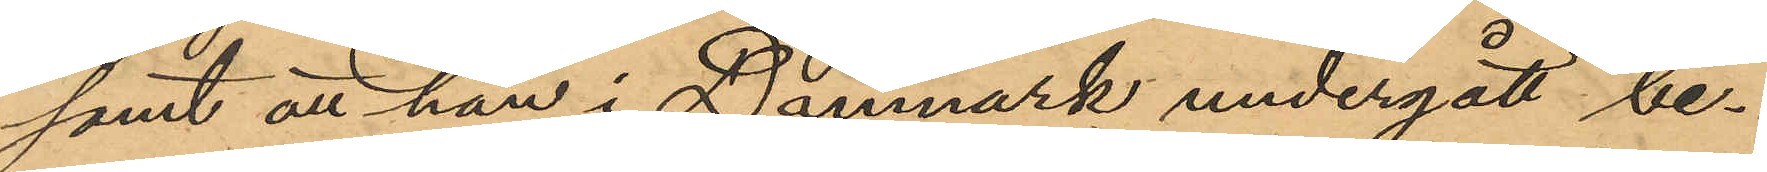samt att han i Damnark undergått be¬
